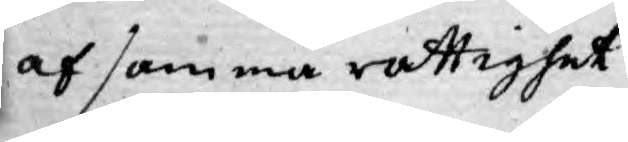af samma rättighet
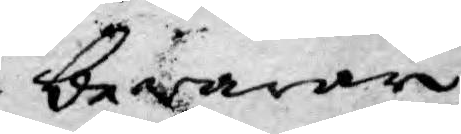bewarar
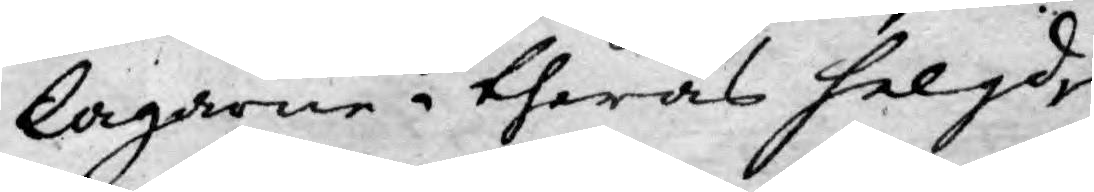lagarne i theras helgd
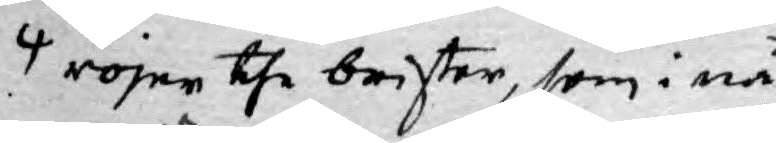röjer the brister, som i nå¬
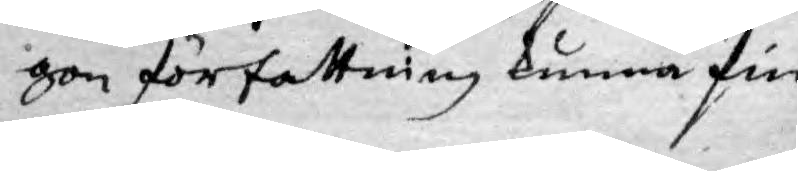gon författning kunna fin¬
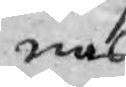nas
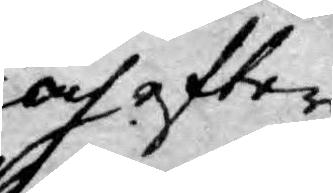och efter¬
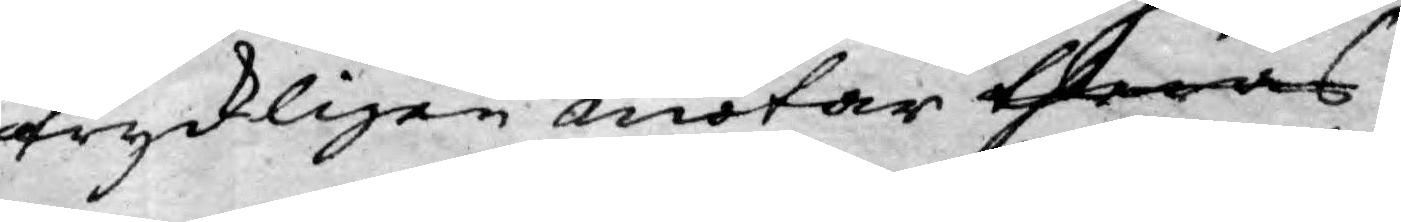tryckligen motar theras
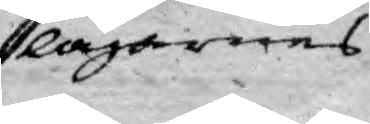lagarnes
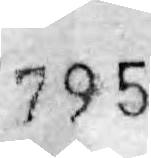795
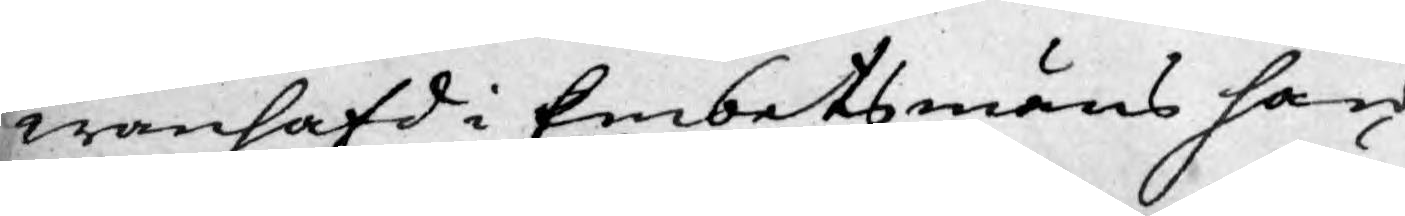wanhäfd i Embetsmäns hän¬
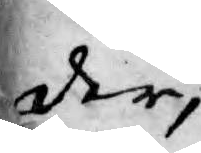der,
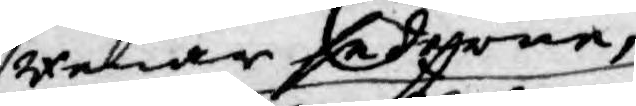Renar sederne,
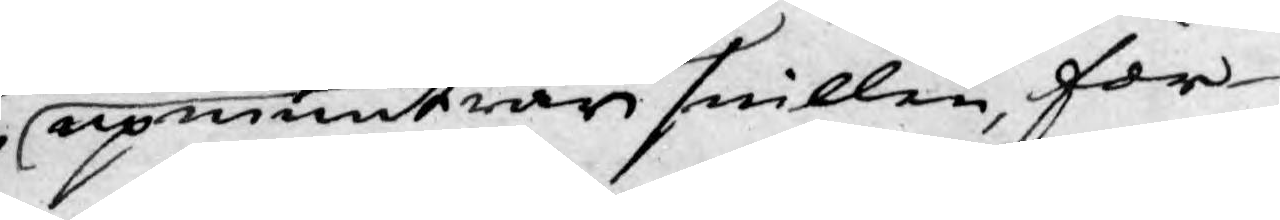upmuntrar snillen, för¬
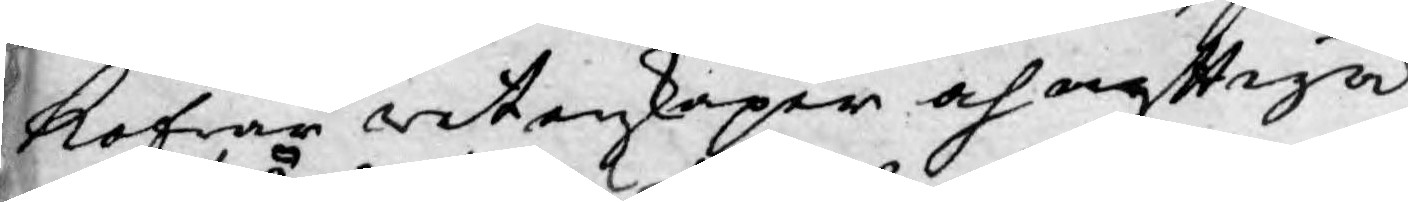kofrar wetenskaper och nyttiga
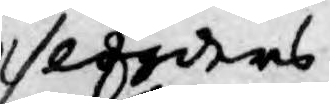slögders
